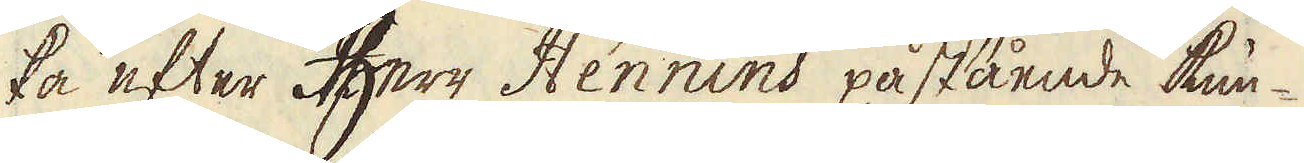ka efter Herr Hennins påstående kun-
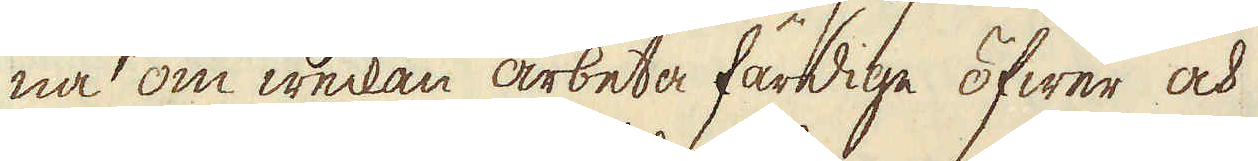na om weckan arbeta färdige öfwer och
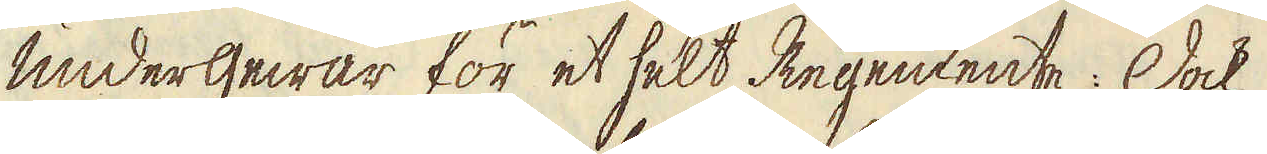undergewär för et helt Regemente: Dock
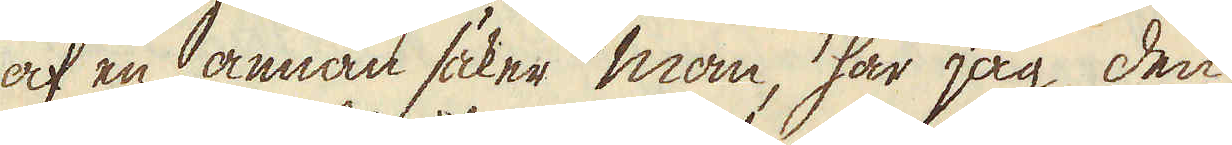af en annan säker man, har jag den
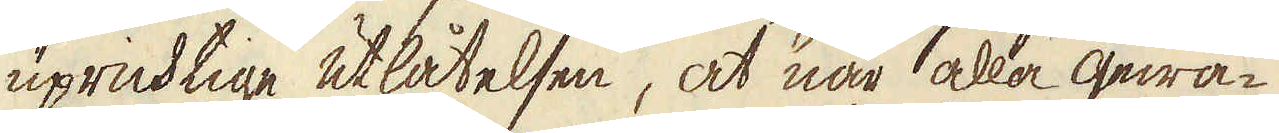upricktige utlåtelsen, at när alla gewä-
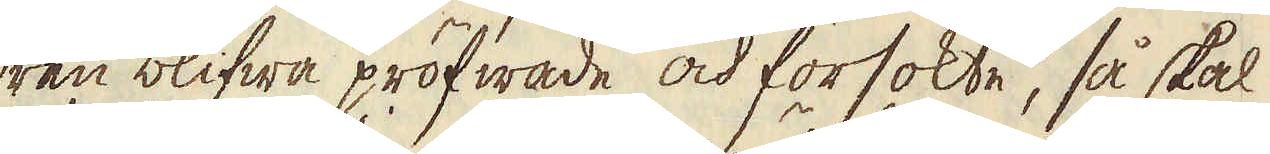ren blifwa pröfwade och försökte, så skal
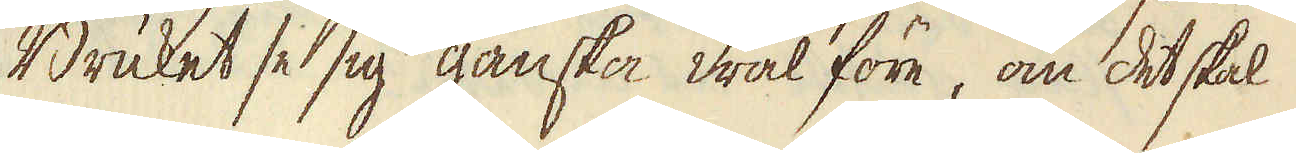Bruket se sig ganska wäl före, om det skal
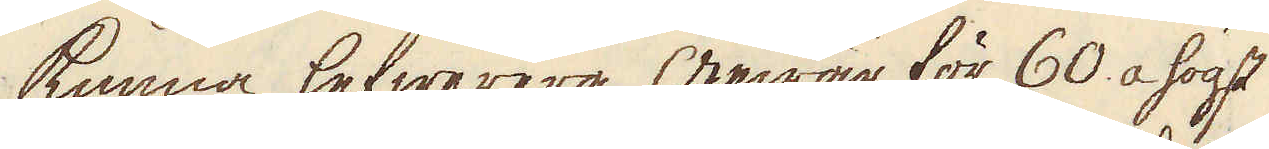kunna lefwerera gewär för 60. a högst
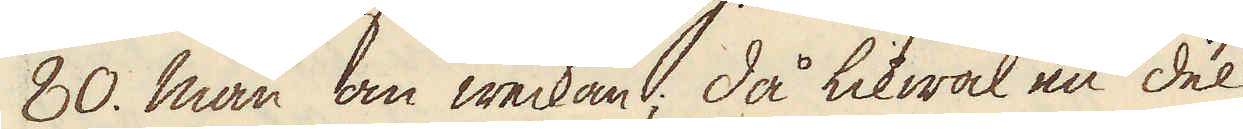80. man om weckan; då likwäl en del
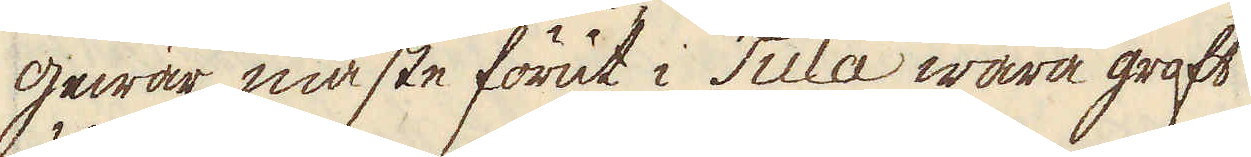gewär måste förut i Tula wara groft
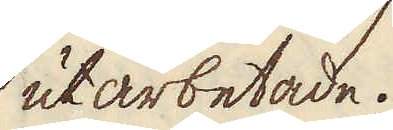utarbetade.
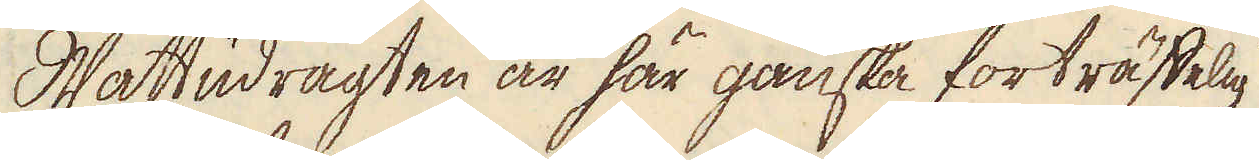Wattudrägten är här ganska förträffelig
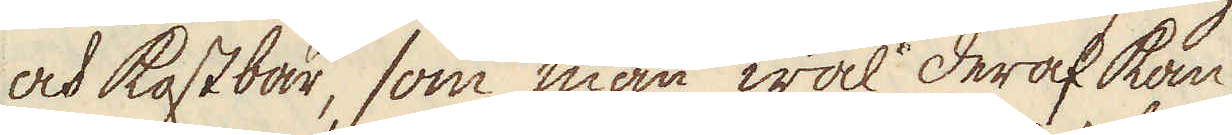och kostbar, som man wäl deraf kan
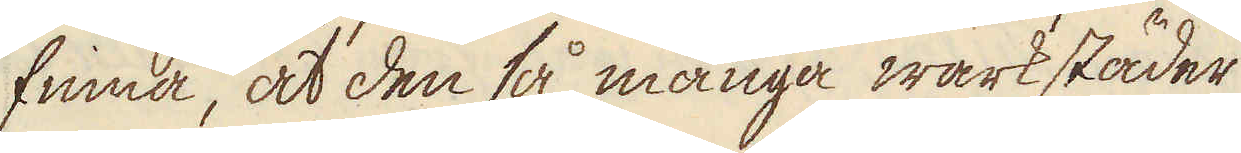finna, at den så många wärkstäder
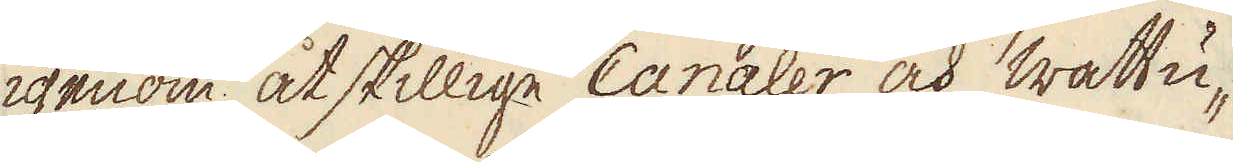igenom åtskillige Canaler och wattu-
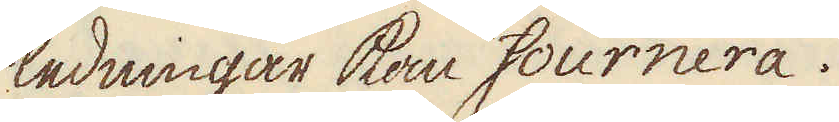ledningar kan fournera.
